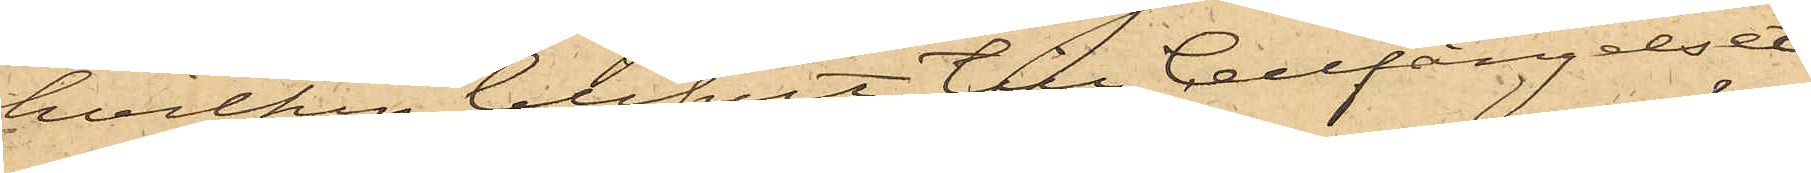hvilken blifvit till Cellfängelset
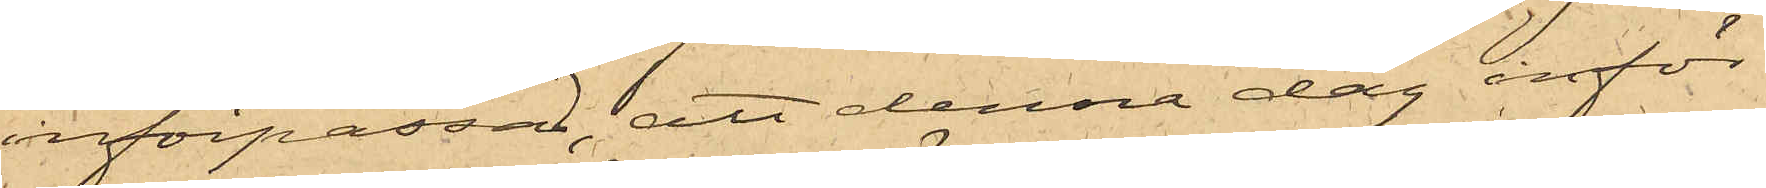införpassad, att denna dag inför
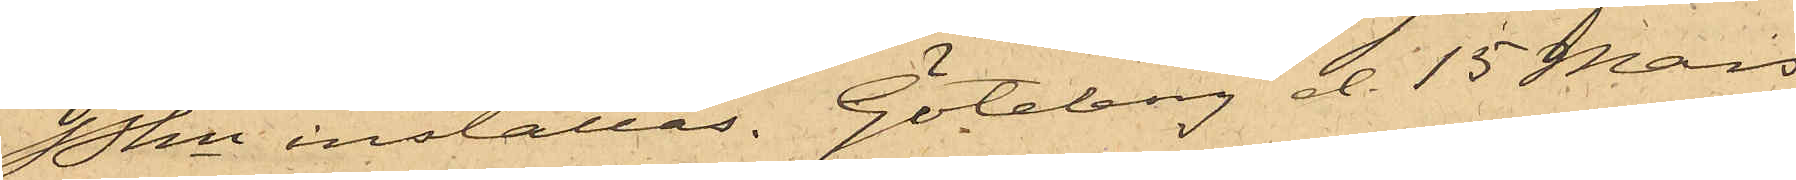Pkn inställas. Göteborg d. 15 Mars
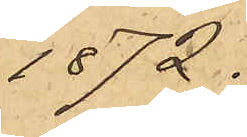1872.
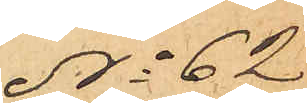No 62
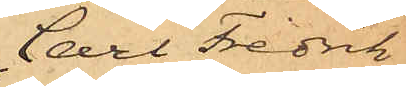Carl Fredrik
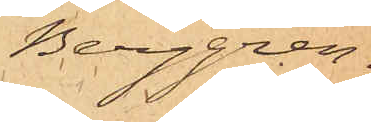Berggren.
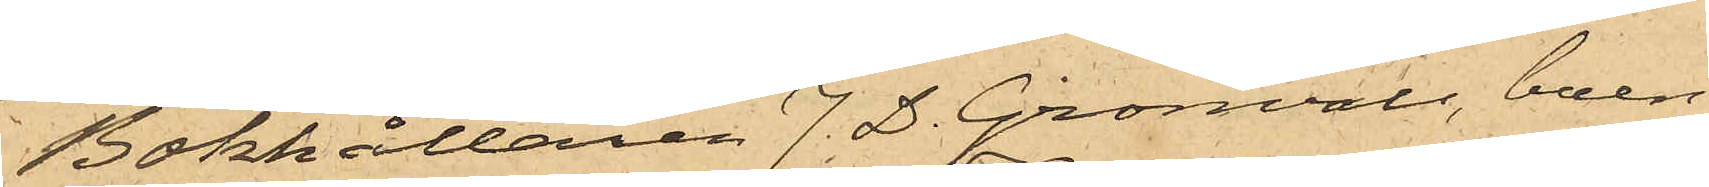Bokhållaren J. D. Grönvall, boen¬
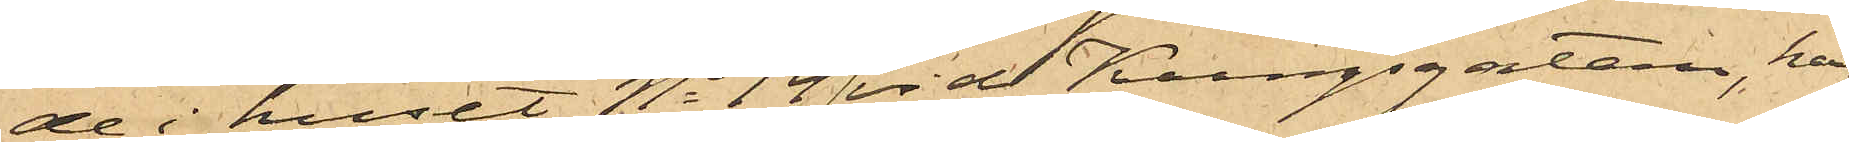de i huset No 14 vid Kungsgatan, har
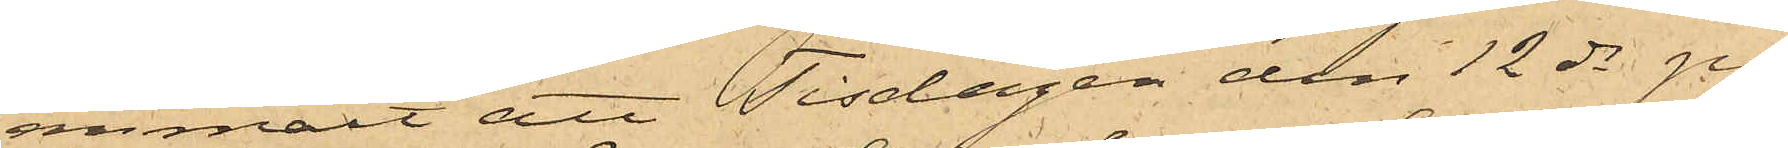anmält att Tisdagen den 12 ds på
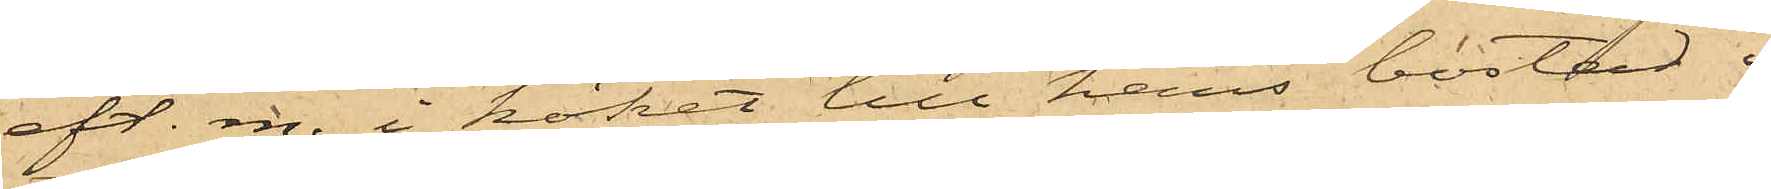eft. m. i köket till hans bostad i
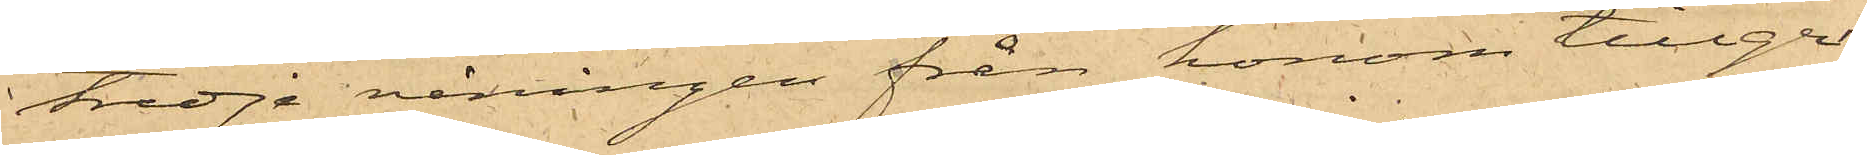tredje våningen från honom tillgri¬
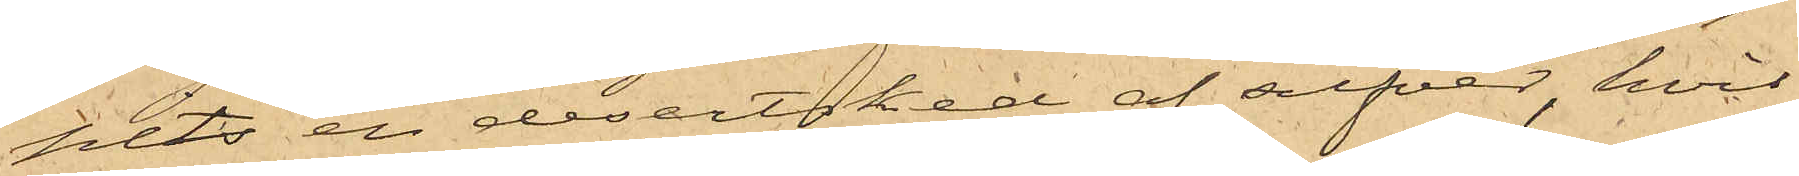pits en desertsked af silfver, hvil¬
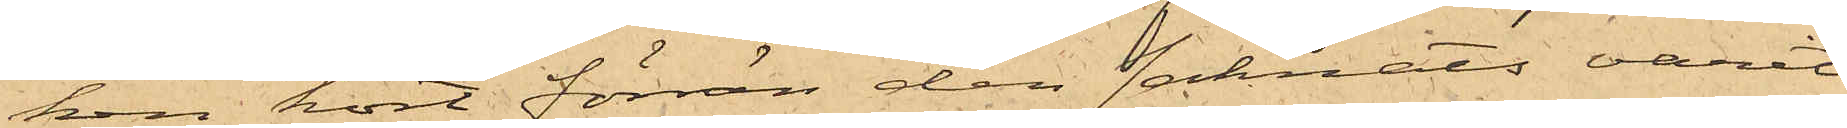ken kort förrän den saknats varit
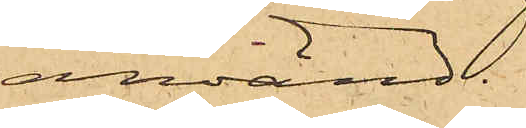använd.
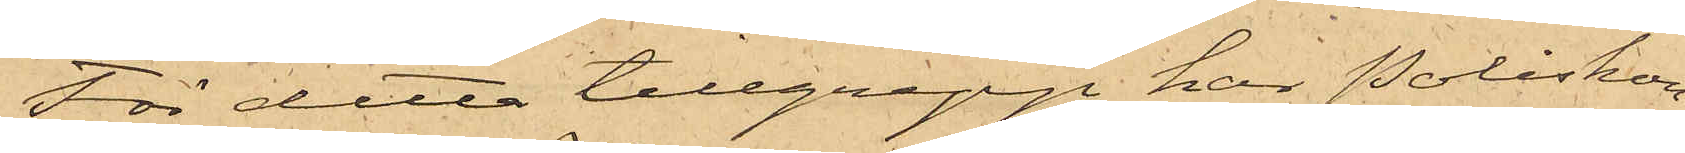För detta tillgrepp har Poliskon
